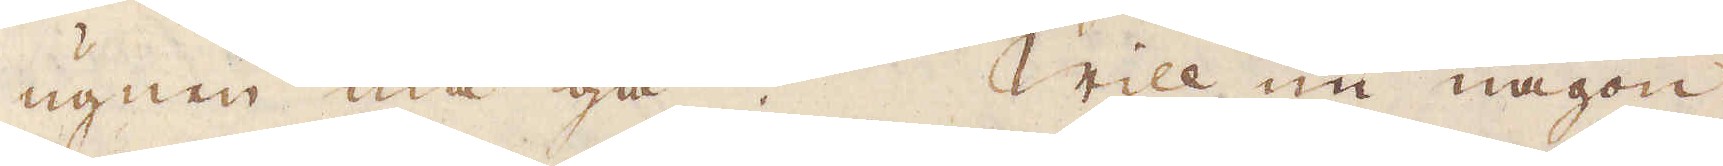ugnen må gå. Will nu någon
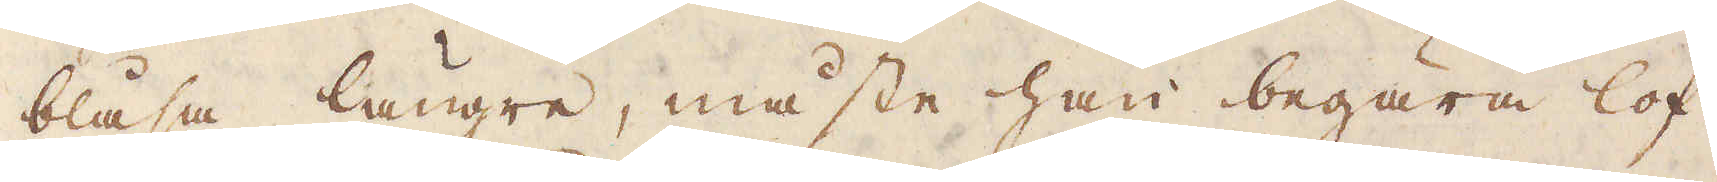blåsa längre, måste han begära lof
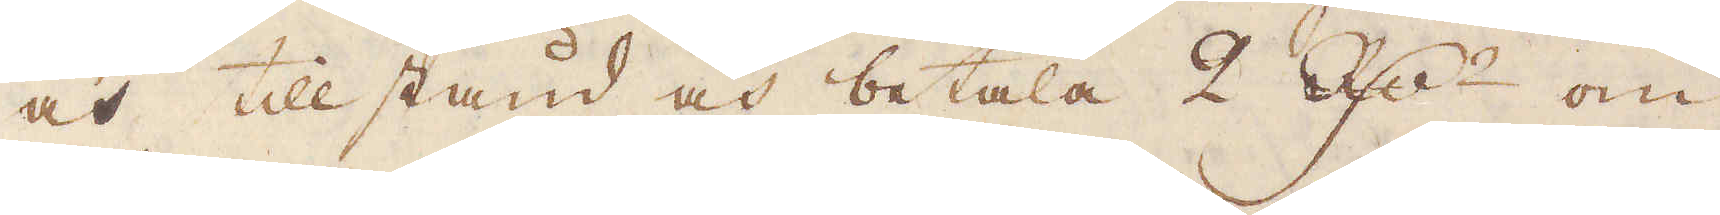och tillstånd och betala 2 R:dr om
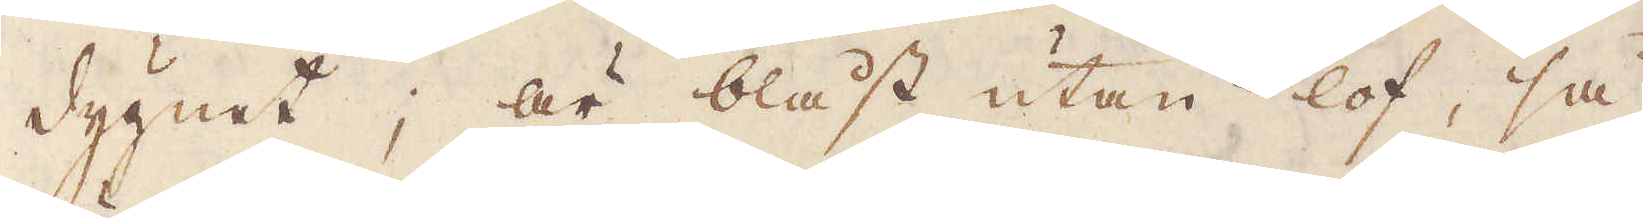dygnet; är blåst utan lof, så
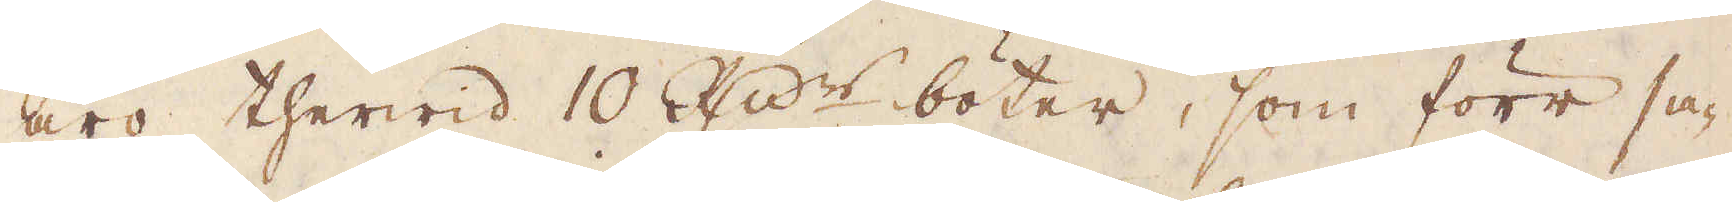äro therwid 10 R:dr böter, som förr sa-
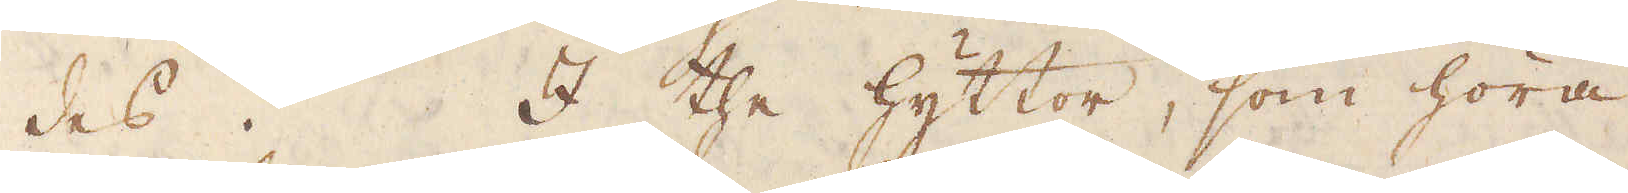des. I the hyttor, som höra
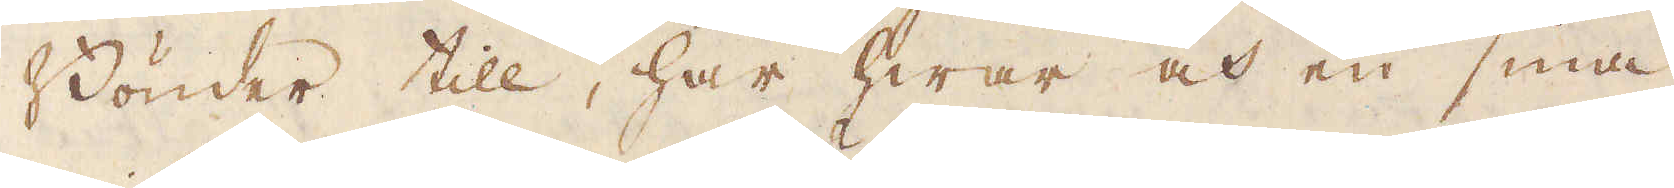Bönder till, har hwar och en sina
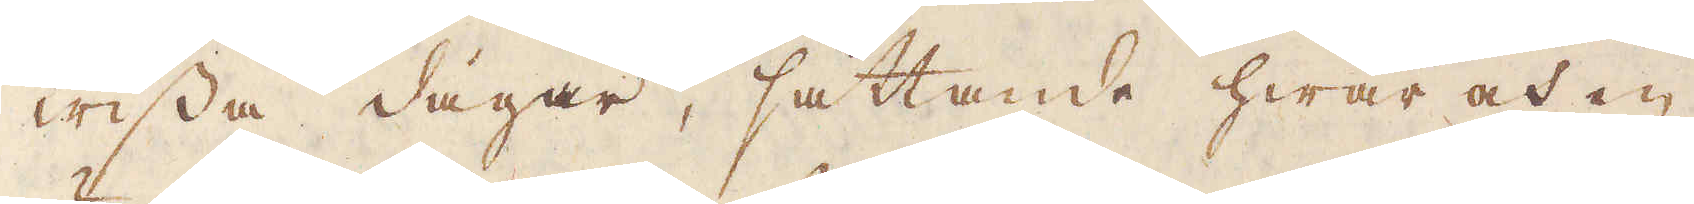wissa dagar, sättande hwar och en
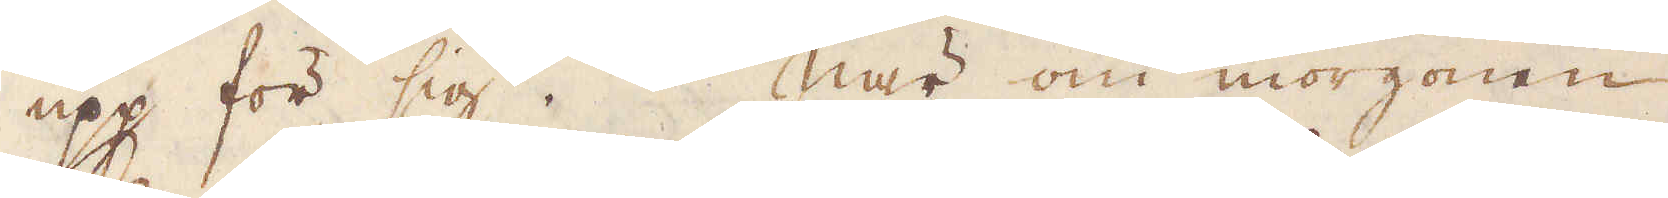upp för sig. När om morgonen
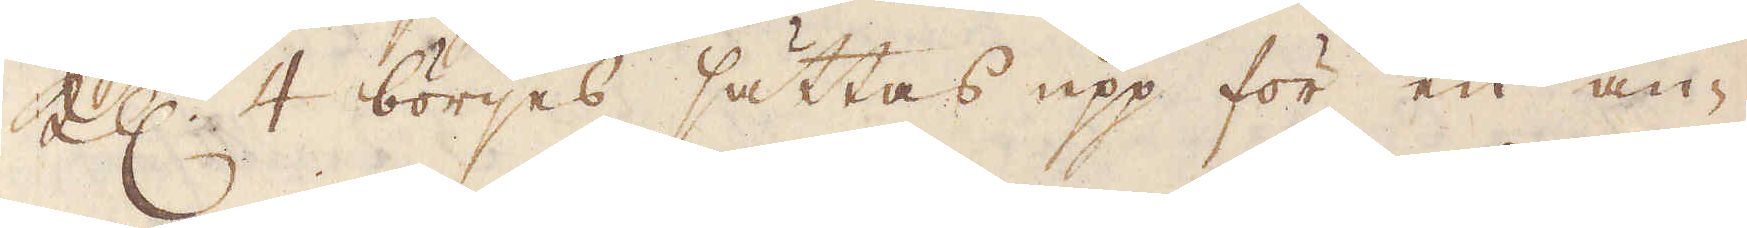Kl. 4 börjes sättas upp för en an-
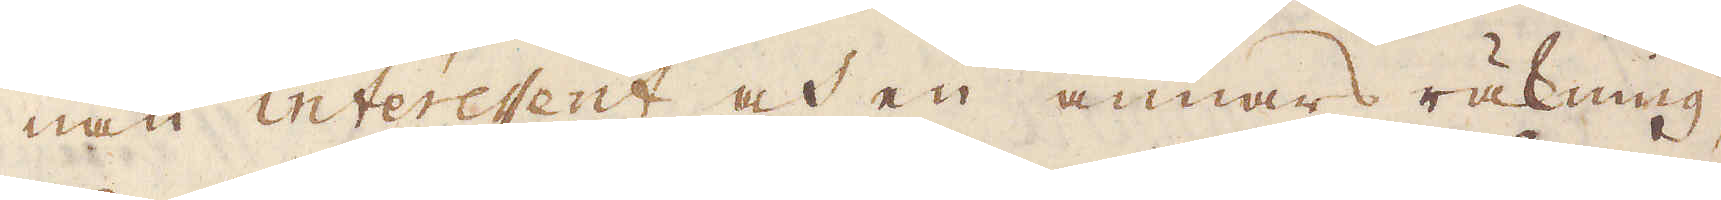nan interessent och en annans räkning,
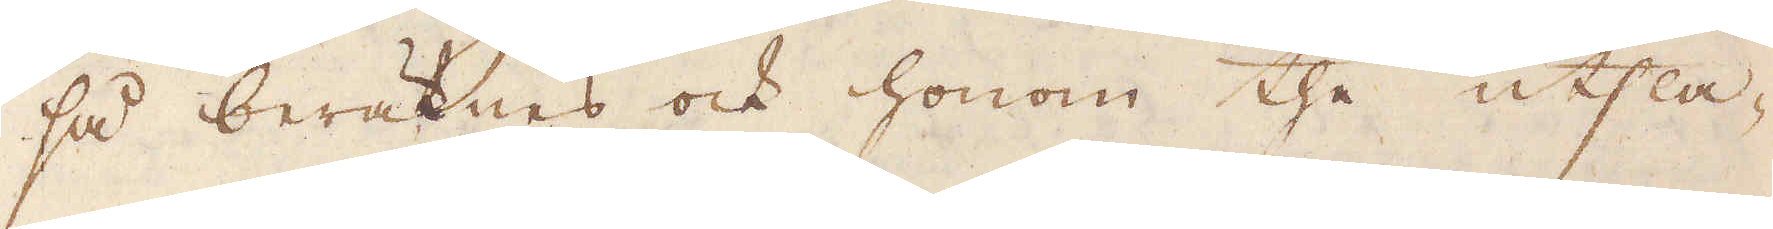så beräknas ock honom the utsla-
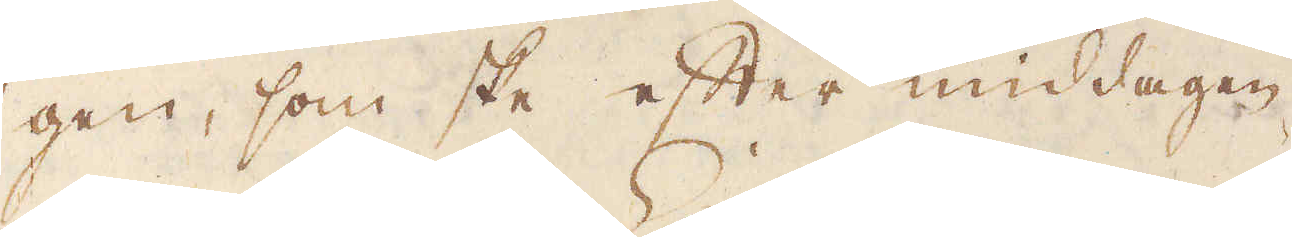gen, som ske efter middagen.
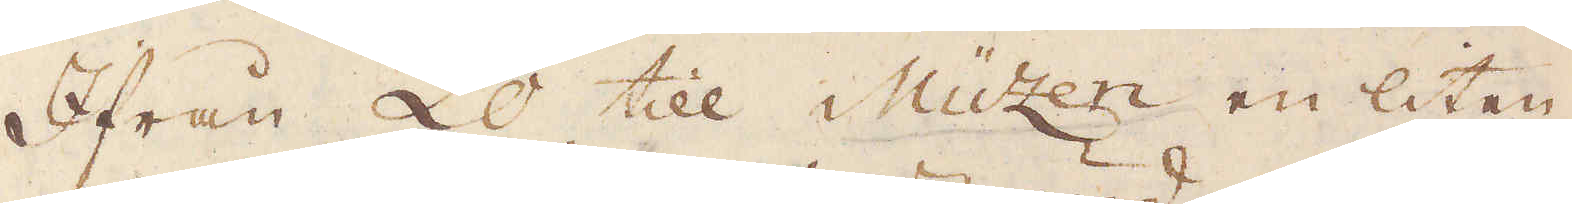Ifrån Lo till Müzen en liten
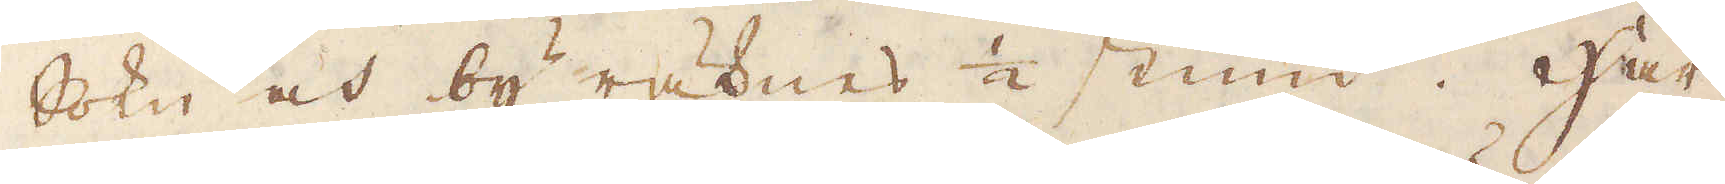Sokn och by räknes 1/2 stund. Här
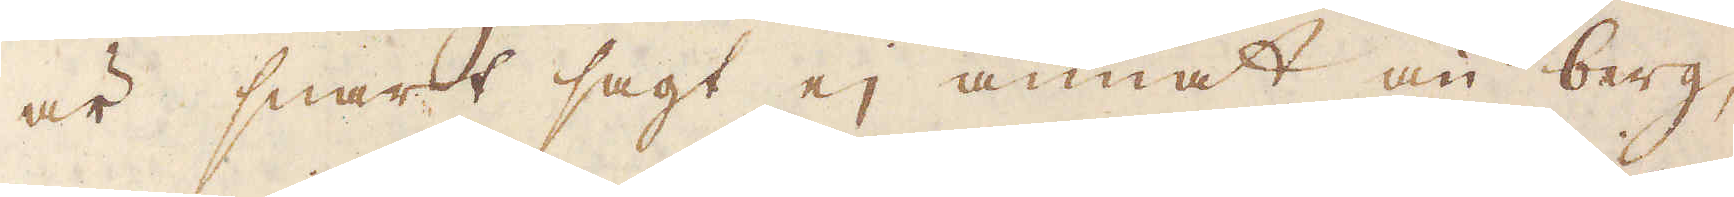är snart sagt ej annat än berg,
